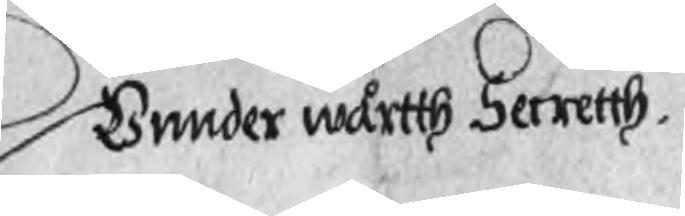Unnder wårtth Secretth.
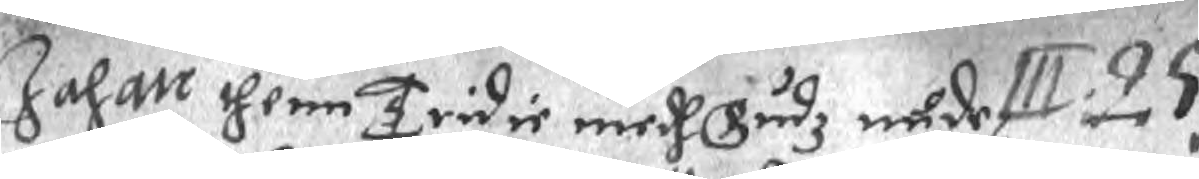Johan thenn Tridie medh Gudz nåde III.25.
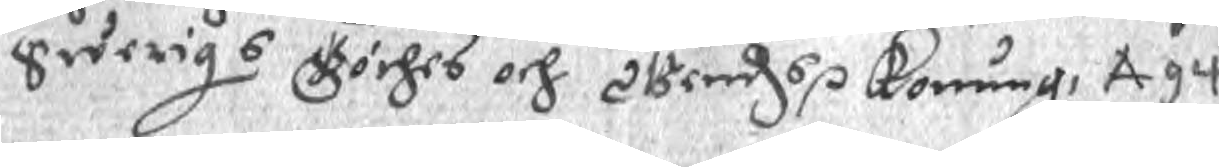Swerigs Göthes och Wendzs r Konung. A 94
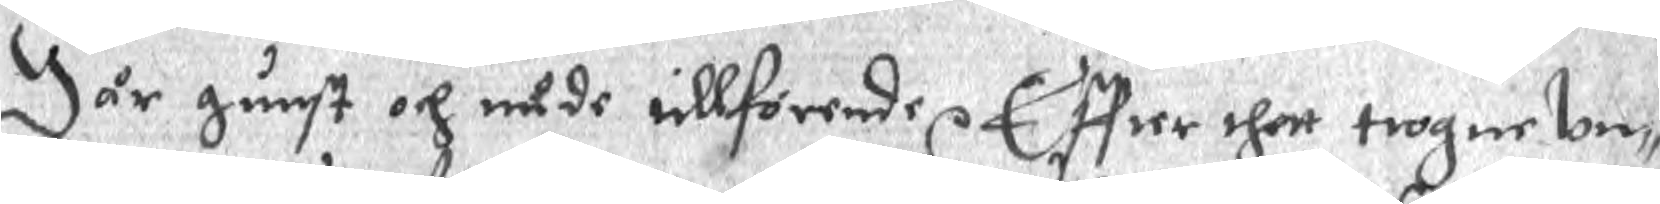Wår gunst och nåde itllförende r Effter thett trogne Un¬
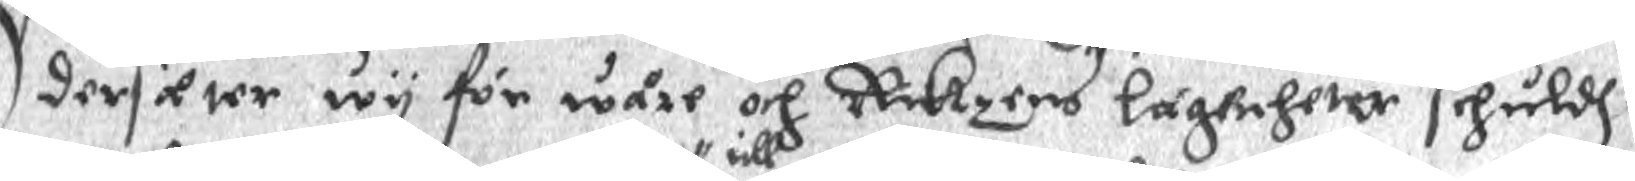dersåter wy för wåre och Rikzens lägenheter schuldh,
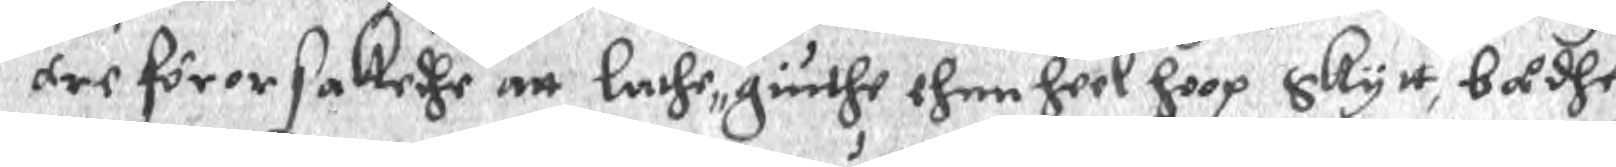ere förorsakedhe att lathe till giuthe then heel hoop skytt, bådhe
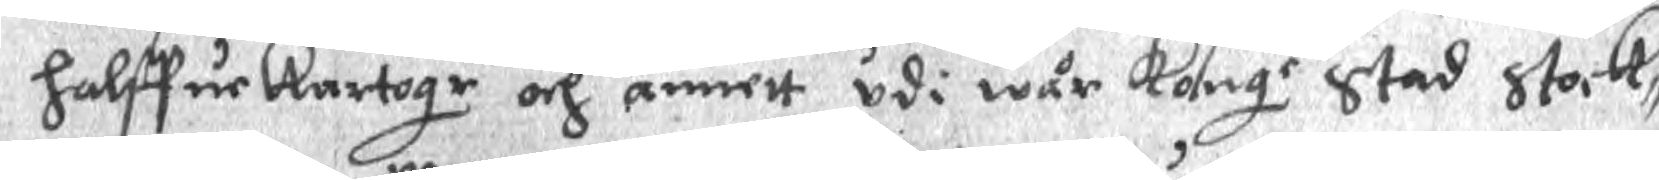halffue Kartogr och annett udi wår Konge Stad Stock¬
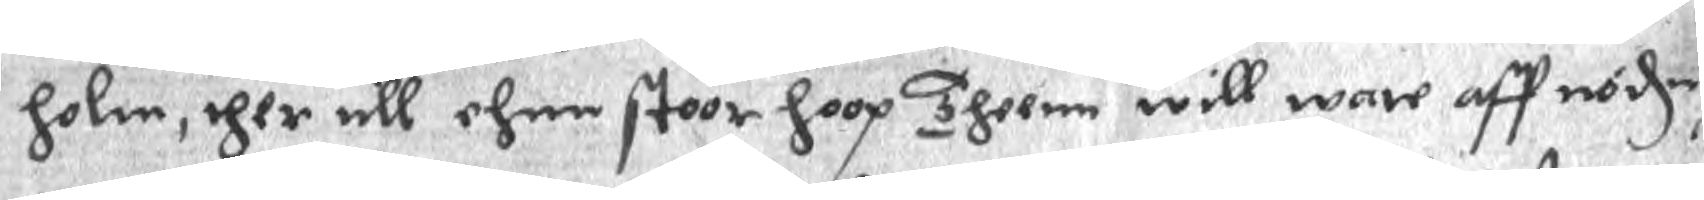holm, ther till ehnn stoor hoop Theenn will ware aff nöde
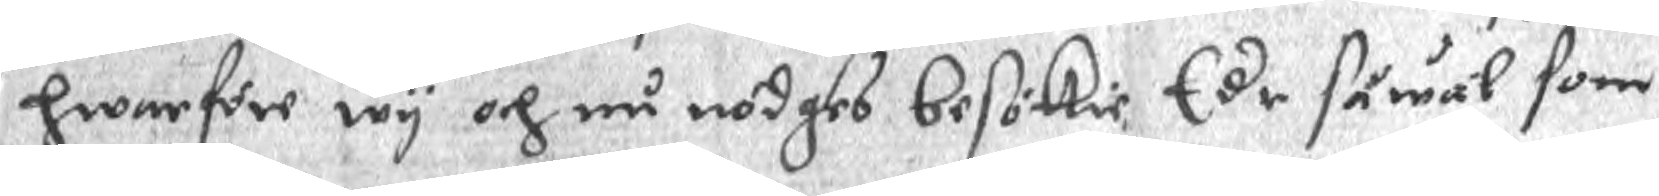hwarföre wy och nu nödges besökie, Edr såwäl som
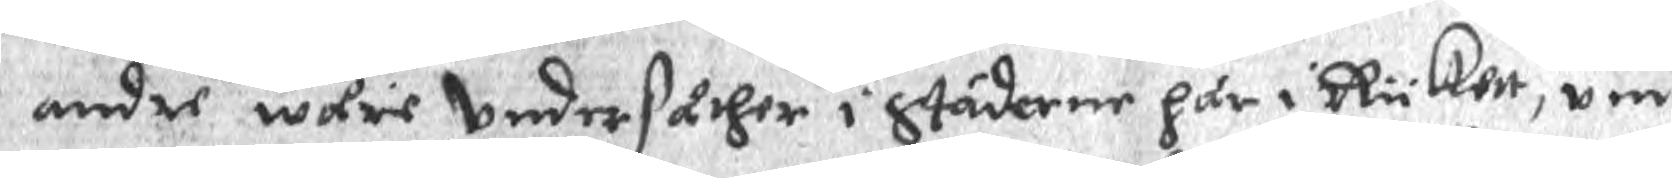andre wåre Undersåther i Städerne här i Riklett, um
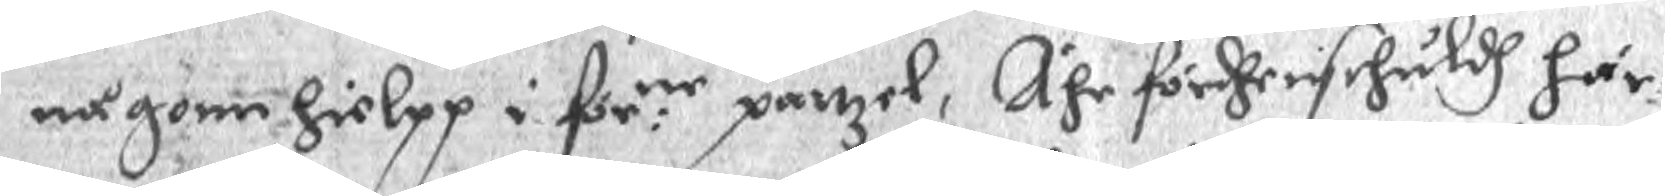någonn hielpp i för:ne panzel, Ähr fördhenschuldh här
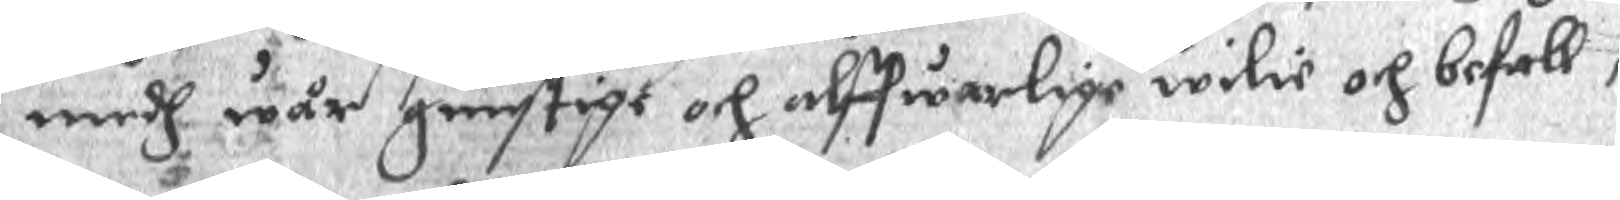medh wår gunstigt och alffwarlige wilie och befall¬
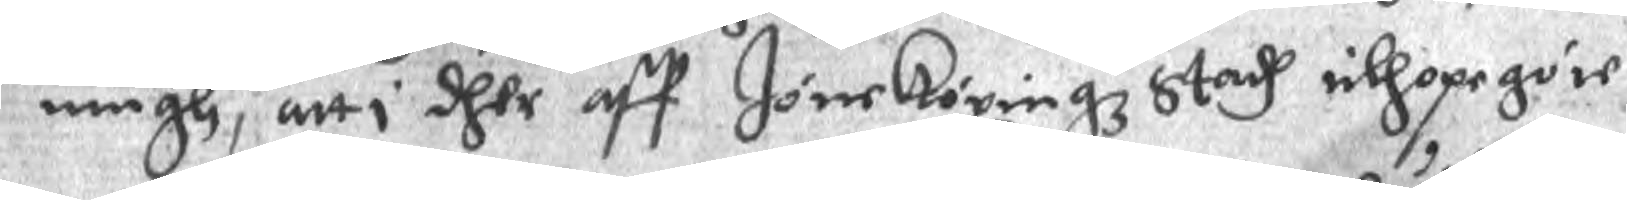ningh, att i dher aff Jöneköpingz Stadh tilhopegöre
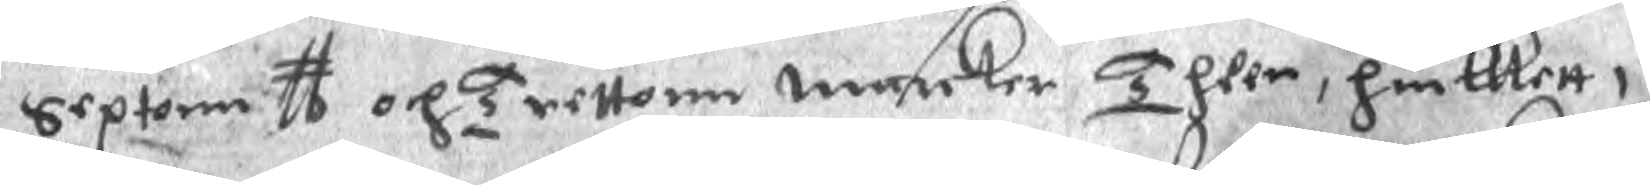Sextonn ll och Tretton marcker Theer, hwilkett i
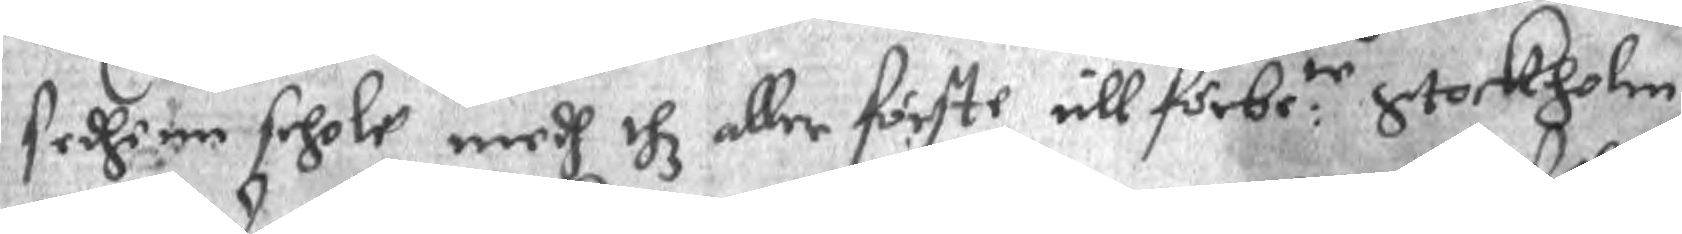sedhenn schole medh thz aller förste till förbe:te Stockholm
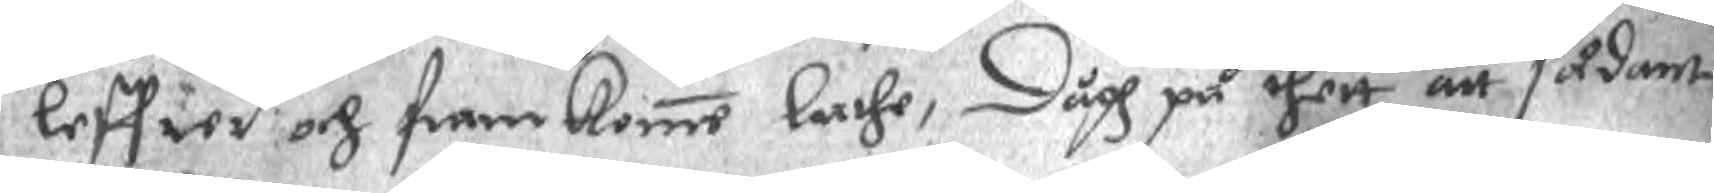leffwed och framkomme lathe, Dågh på dhett att sådant
